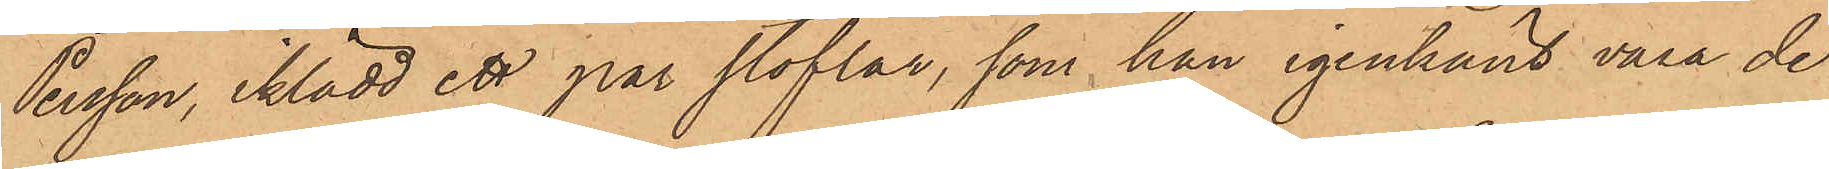Persson, iklädd ett par stöflar, som han igenkänt vara de
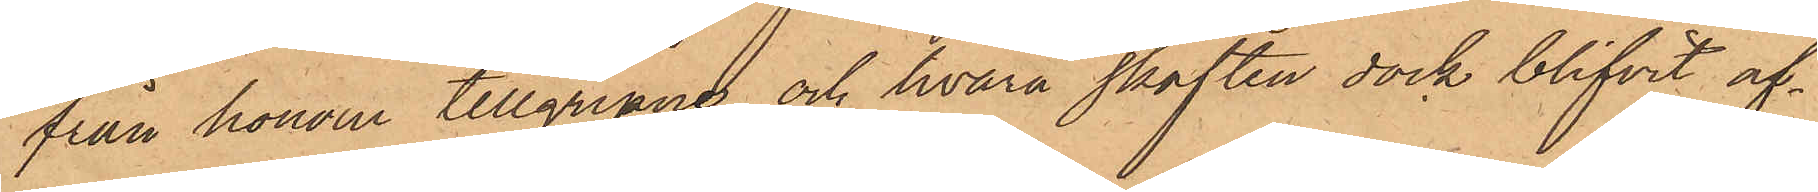från honom tillgripne, och hvarå skaften dock blifvit af¬
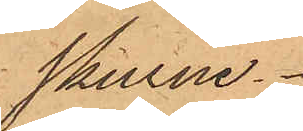skurne.
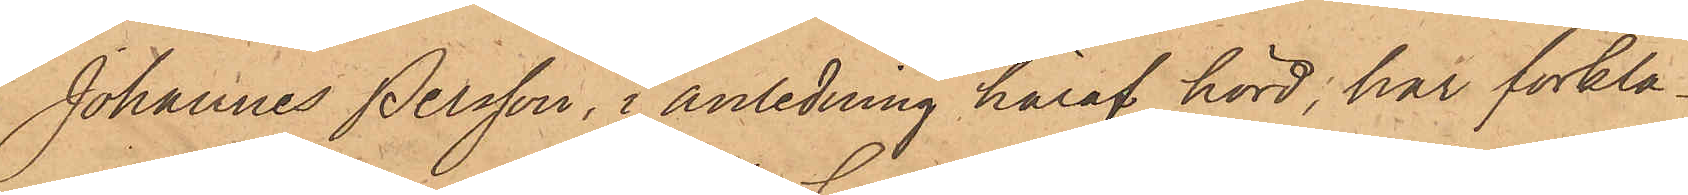Johannes Persson, i anledning häraf hörd, har förkla¬
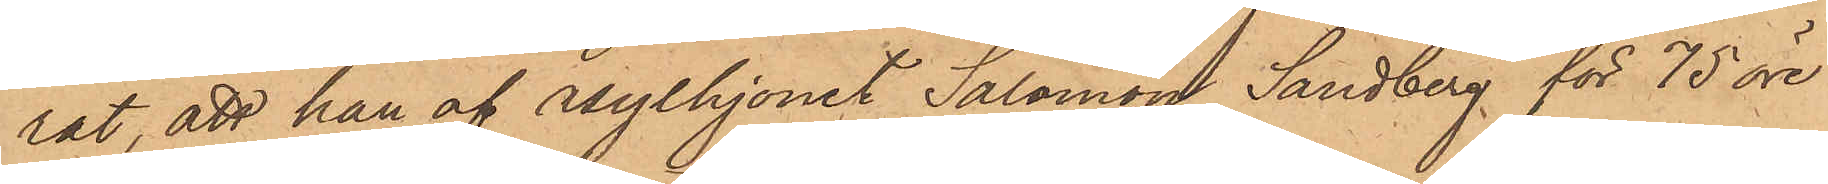rat, att han af asylhjonet Salomon Sandberg för 75 öre
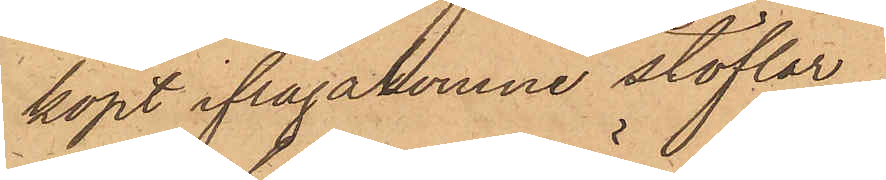köpt ifrågakomne stöflar.
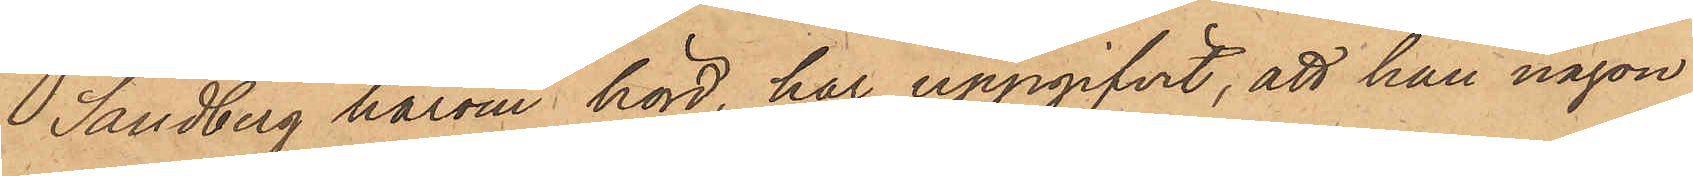Sandberg härom hörd, har uppgifvit, att han någon
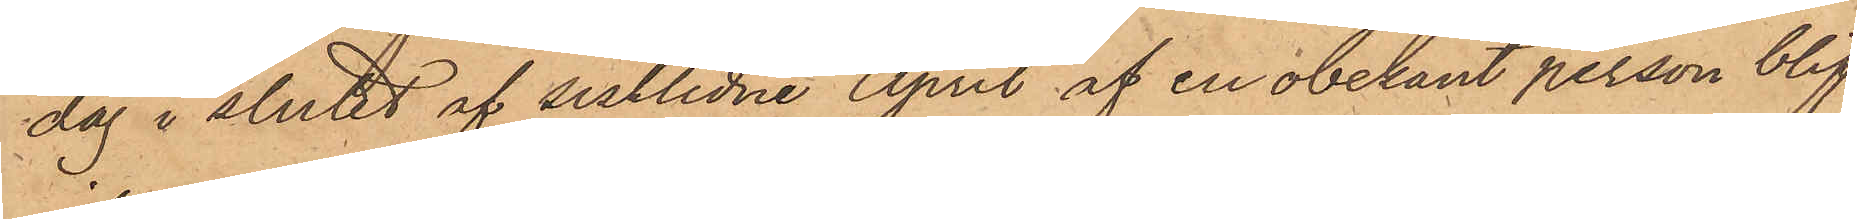dag i slutet af sistlidne April af en obekant person blif¬
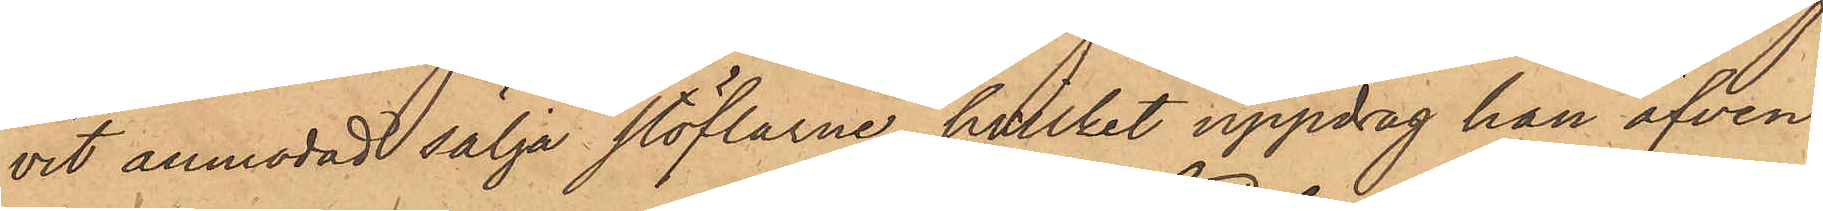vit anmodad sälja stöflarne, hvilket uppdrag han äfven
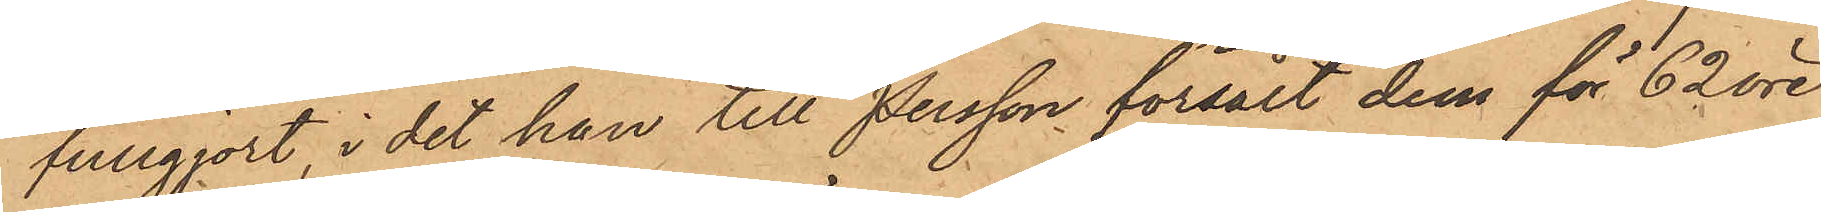fullgjort, i det han till Persson försålt dem för 62 öre,
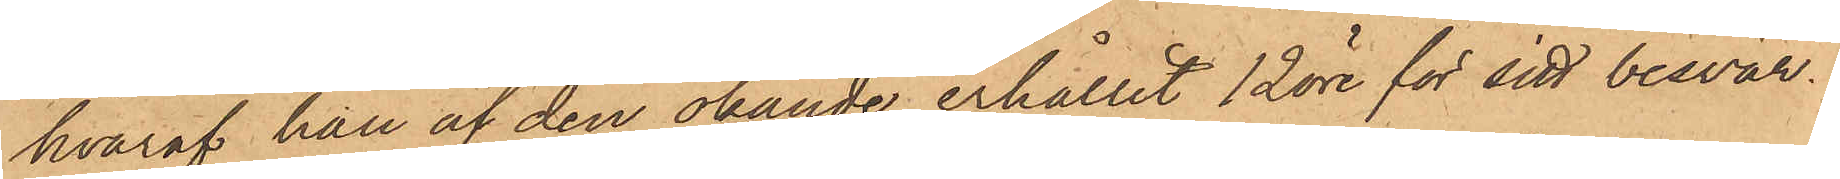hvaraf han af den okände erhållit 12 öre för sitt besvär.
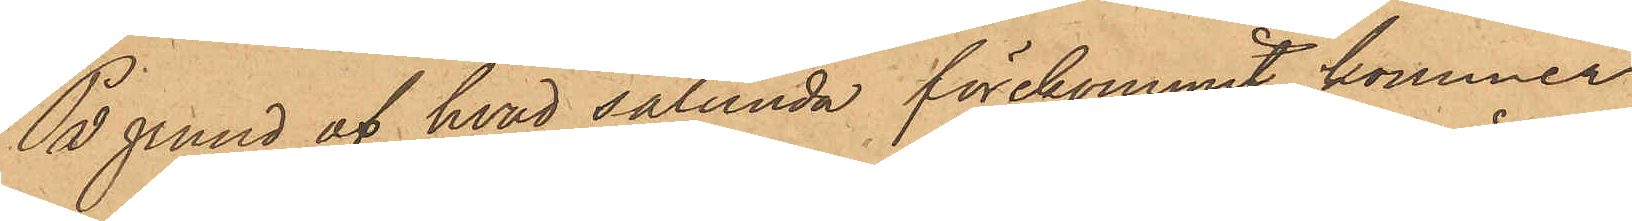På grund af hvad sålunda förekommit, kommer
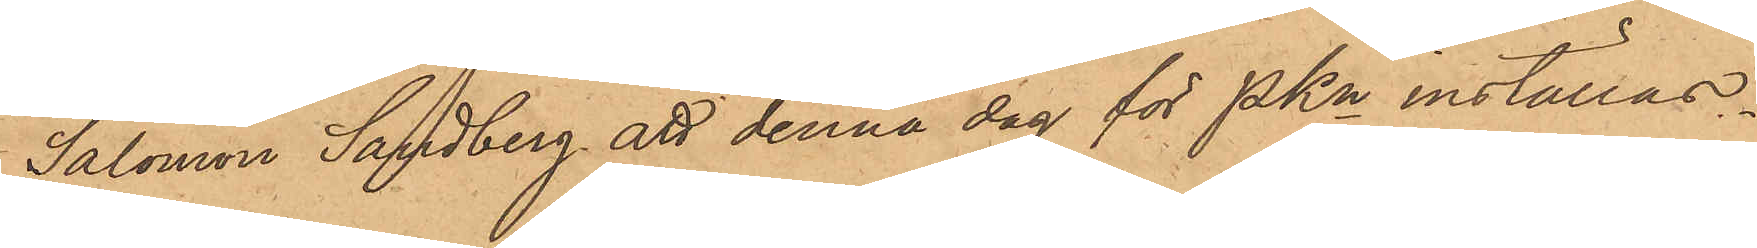Salomon Sandberg att denna dag för PKn inställas.
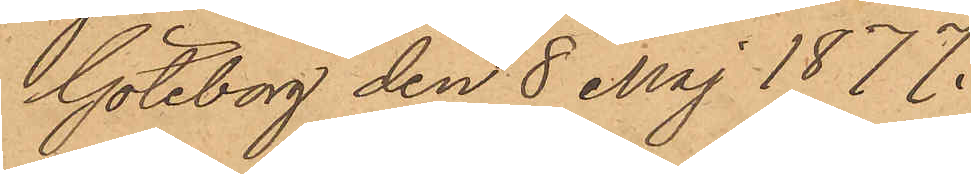Göteborg den 8 Maj 1877.
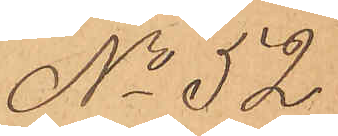No 52
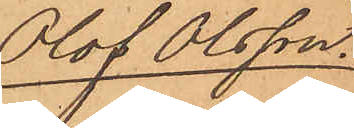Olof Olsson.
